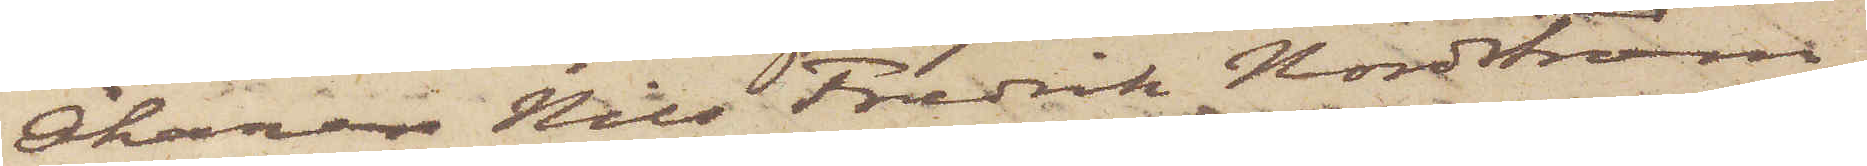Åkaren Nils Fredrik Nordström,
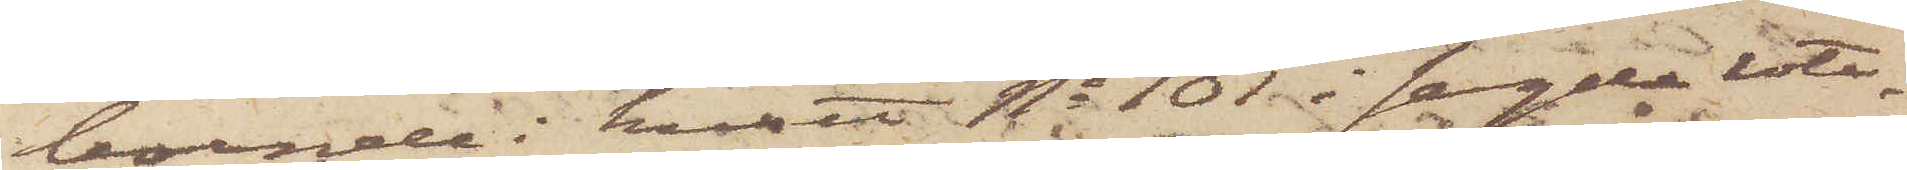boende i huset No 101 i sagde rote
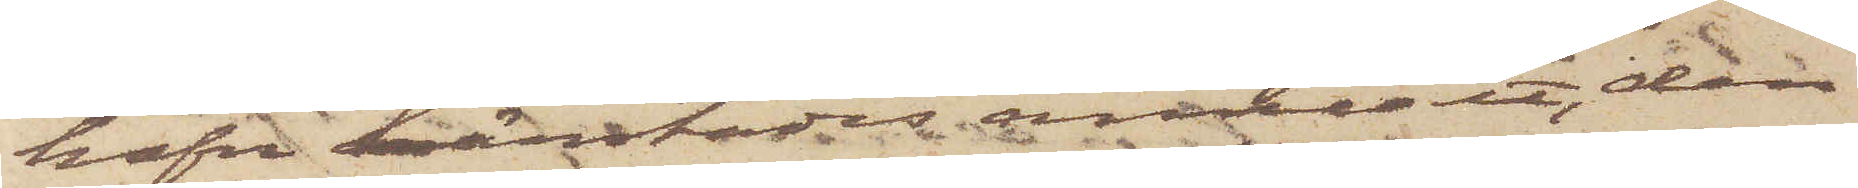hafva härstädes anmält, den
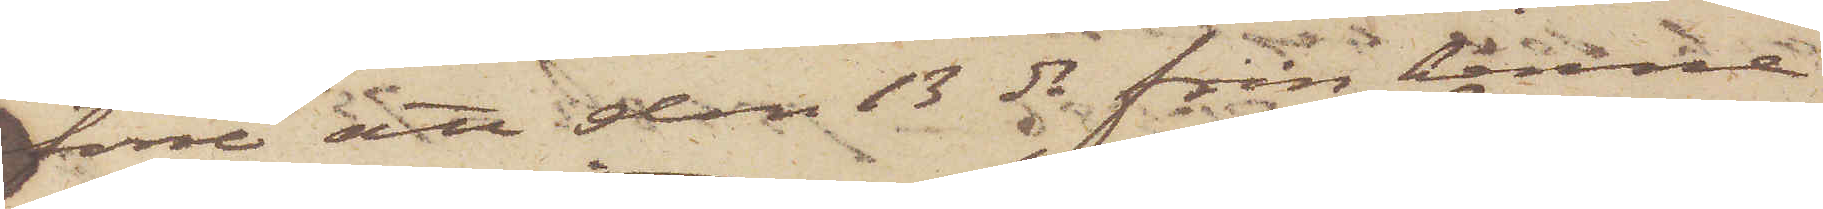förre att den 13 ds från henne
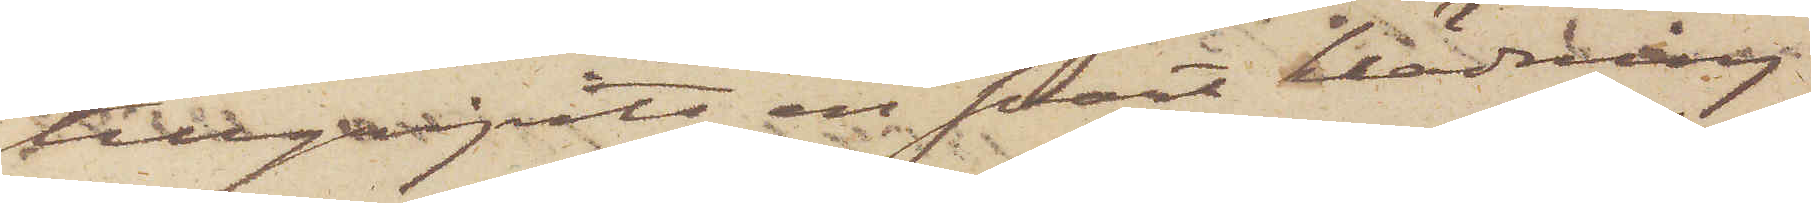tillgripits en svart klädning
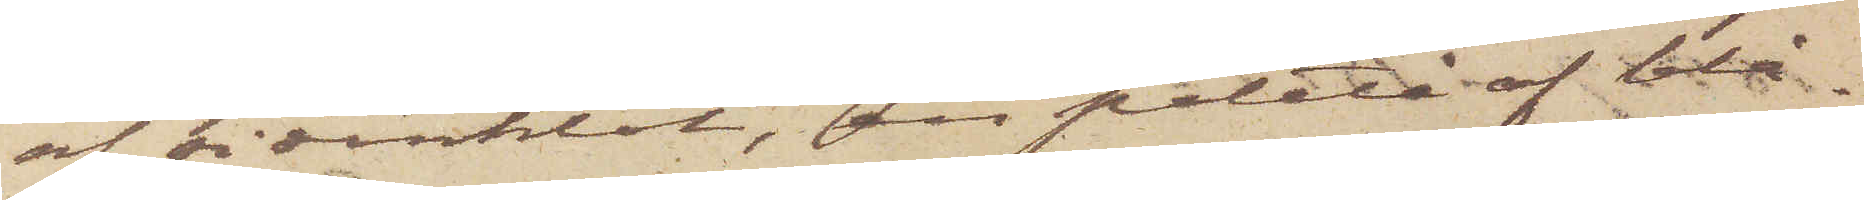af sidenklot, en paletå af blå¬
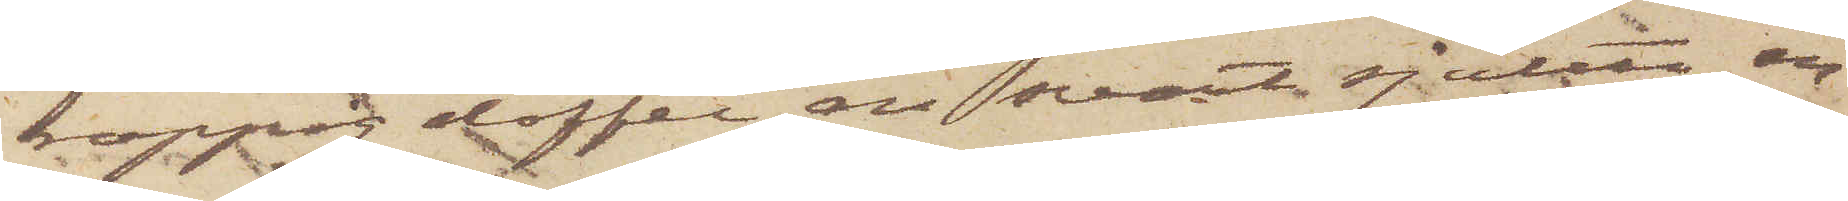noppig doffel, en svart sjalett, en
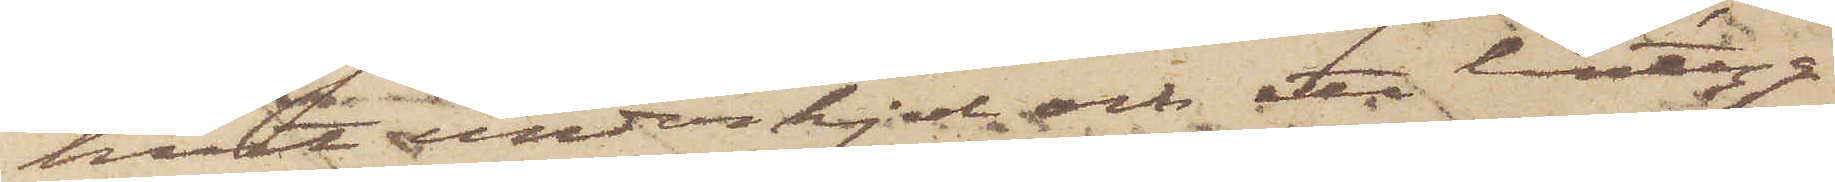hvit underkjol och ett lintyg
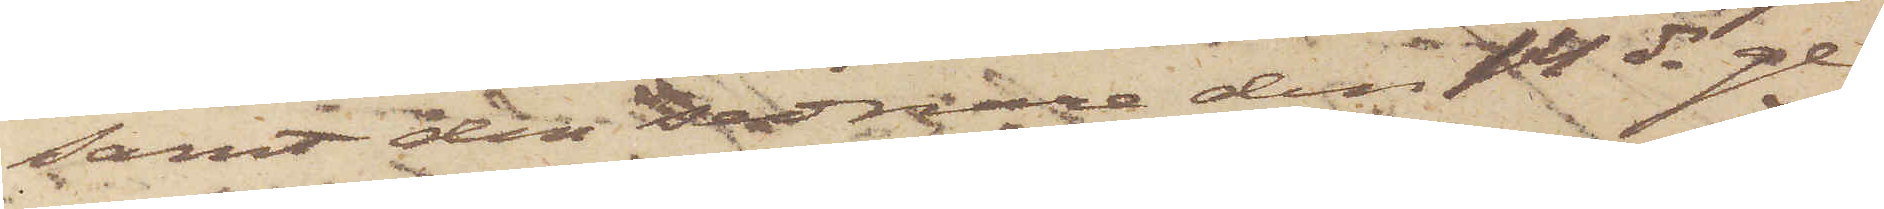samt den sednare den 14 ds ge¬
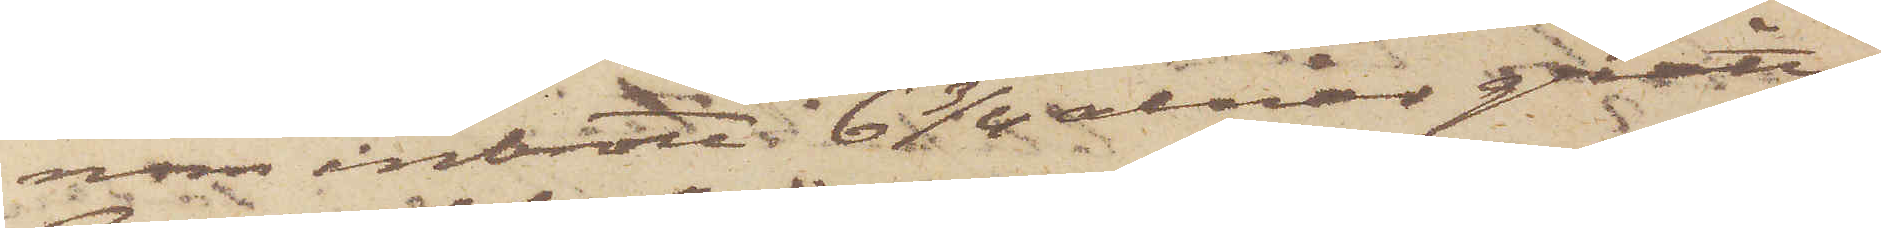nom inbrott i 6 3/4 alnar gråttt
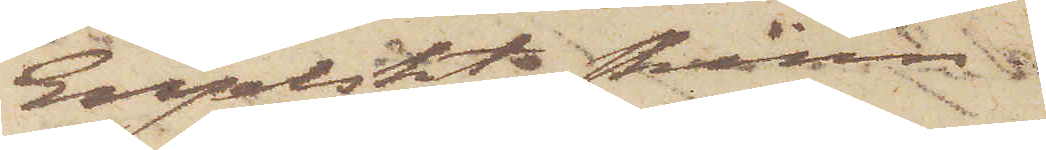Engelskt skinn.
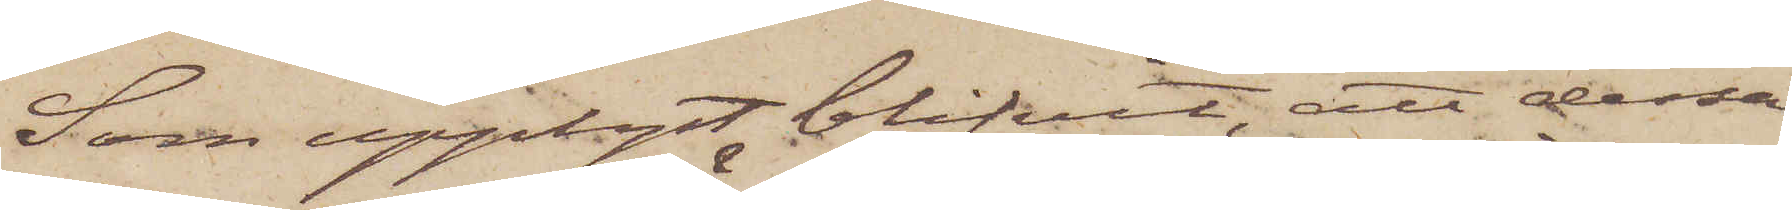Som upplyst blifvit, att dessa
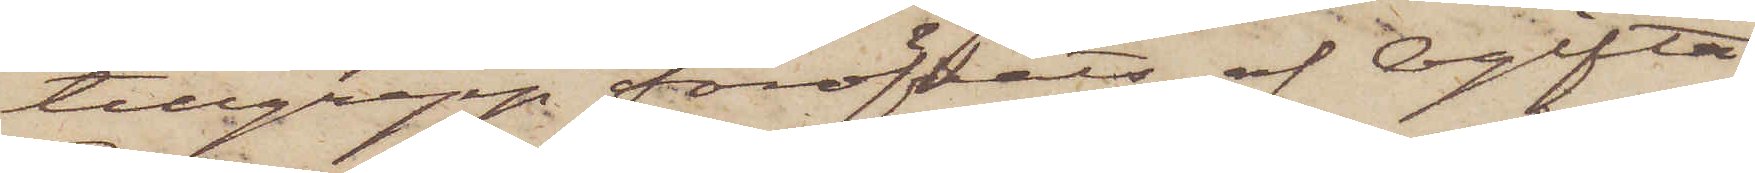tillgrepp föröfvats af Ogifta
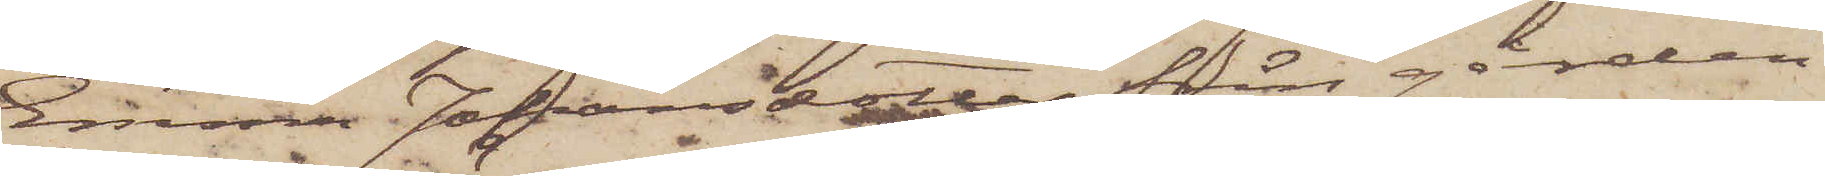Emma Johansdotter från gården
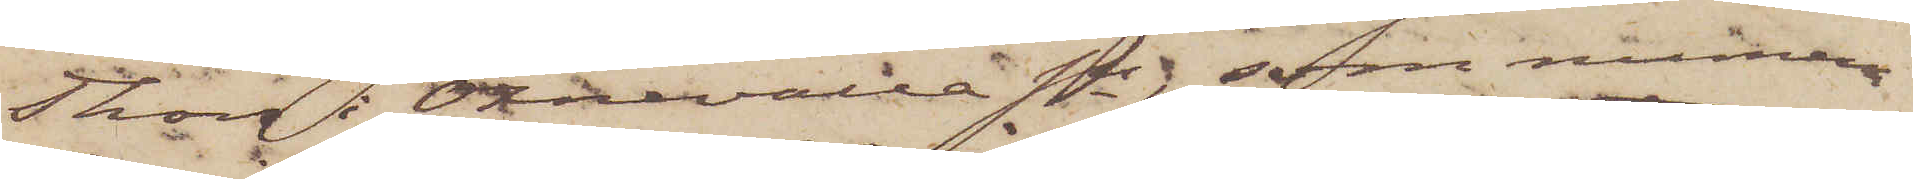Thon i Öxnevalla sn; som numera
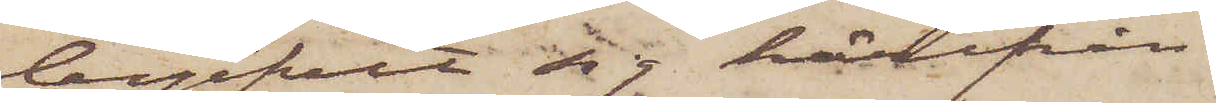begifvit sig härifrån
